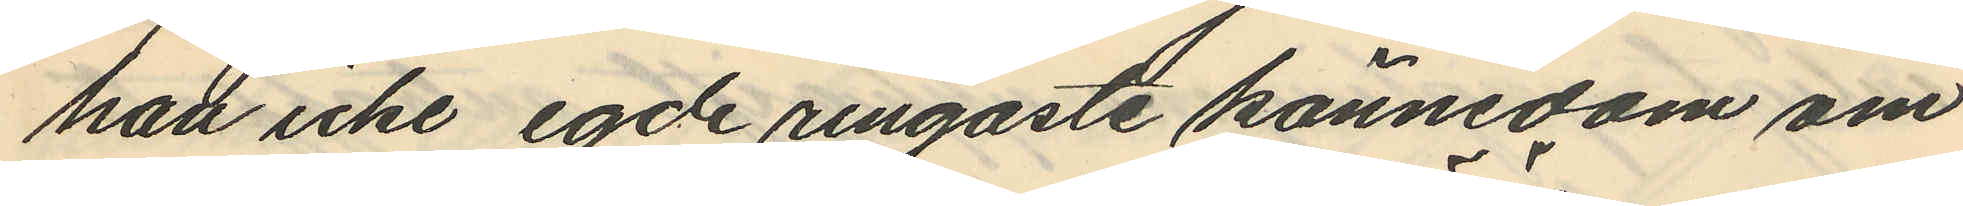han icke egde ringaste kännedom om
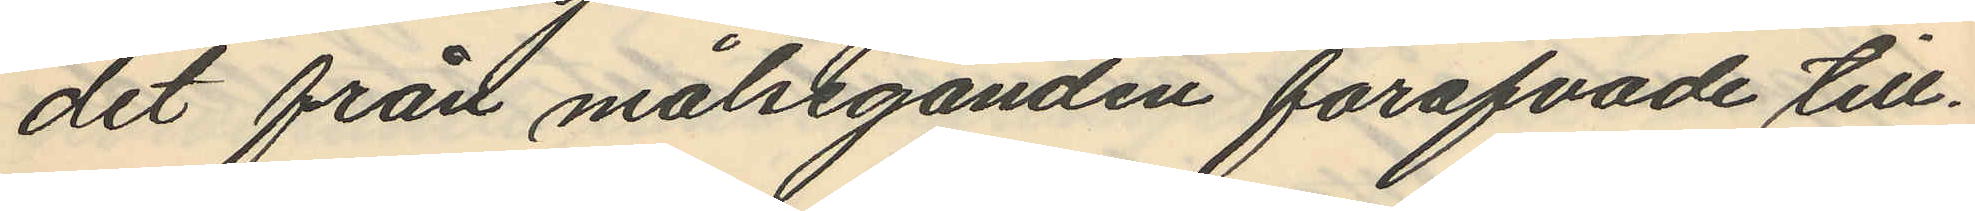det från målseganden föröfvade till¬
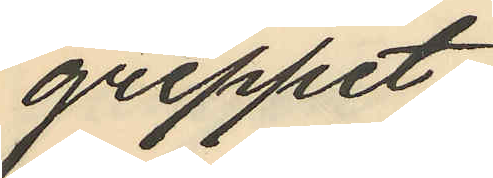greppet.
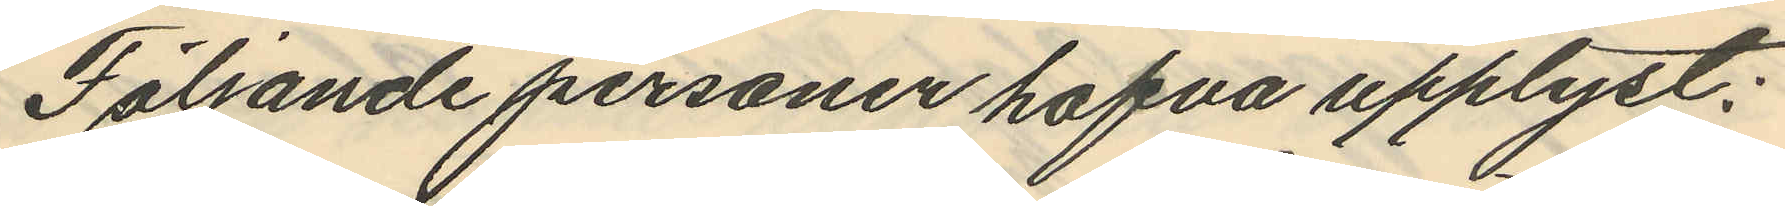Följande personer hafva upplyst:
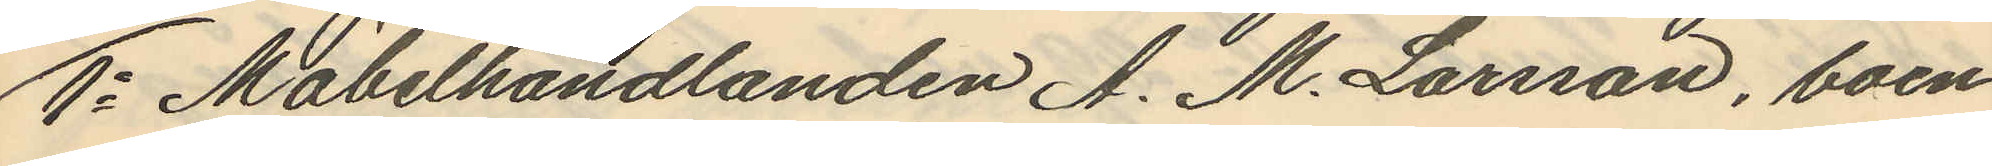1o Möbelhandlanden A. M. Larsson, boen¬
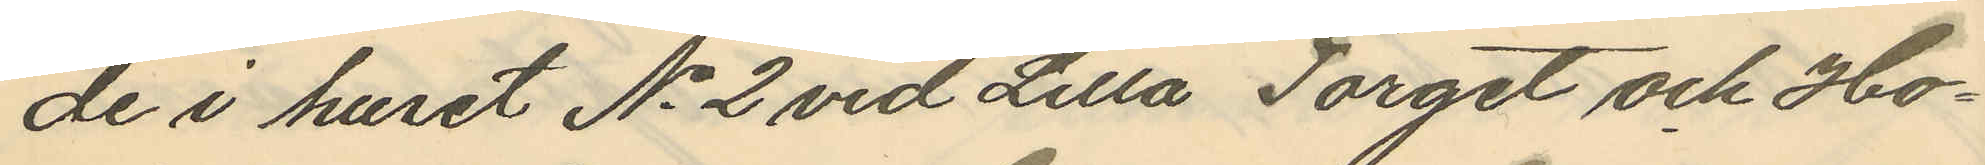de i huset No 2 vid Lilla Torget och Ho¬
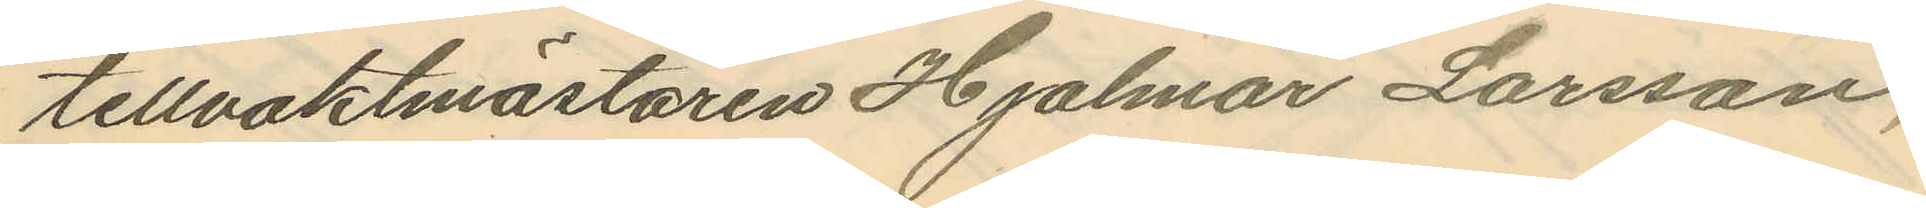tellvaktmästaren Hjalmar Larsson,
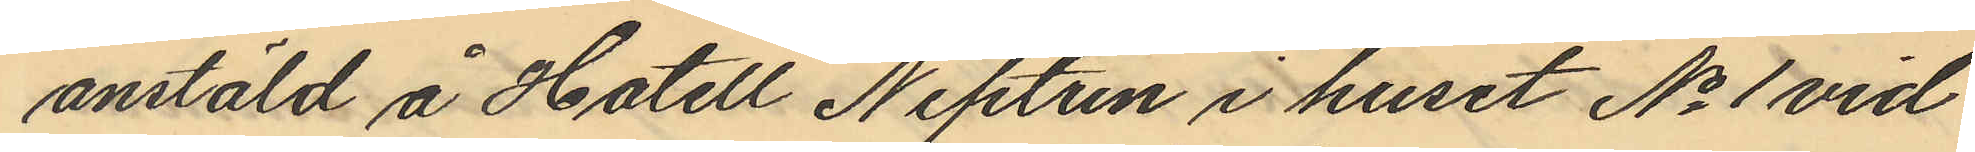anstäld å Hotell Neptun i huset No 1 vid
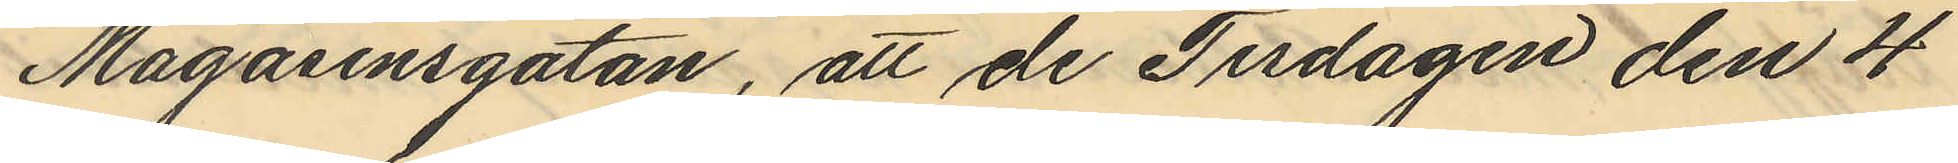Magasinsgatan, att de Tisdagen den 4
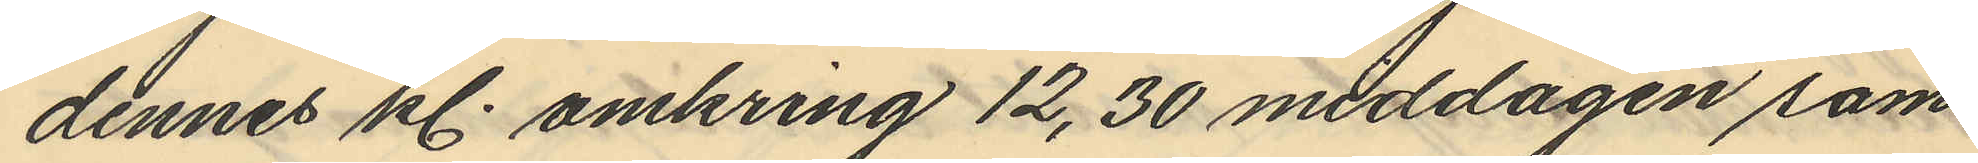dennes kl. omkring 12,30 middagen sam¬
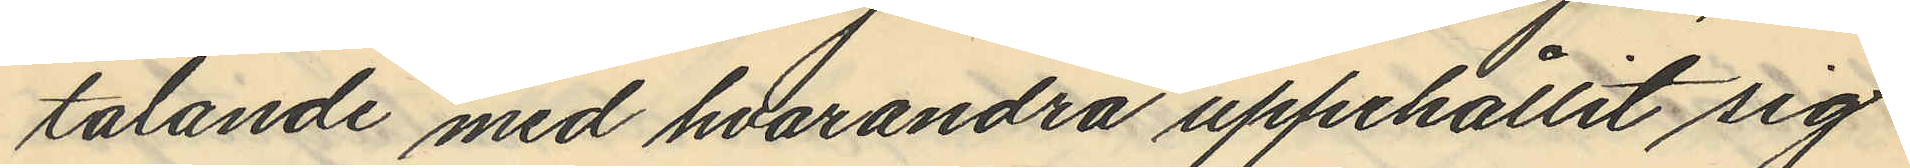talande med hvarandra uppehållit sig
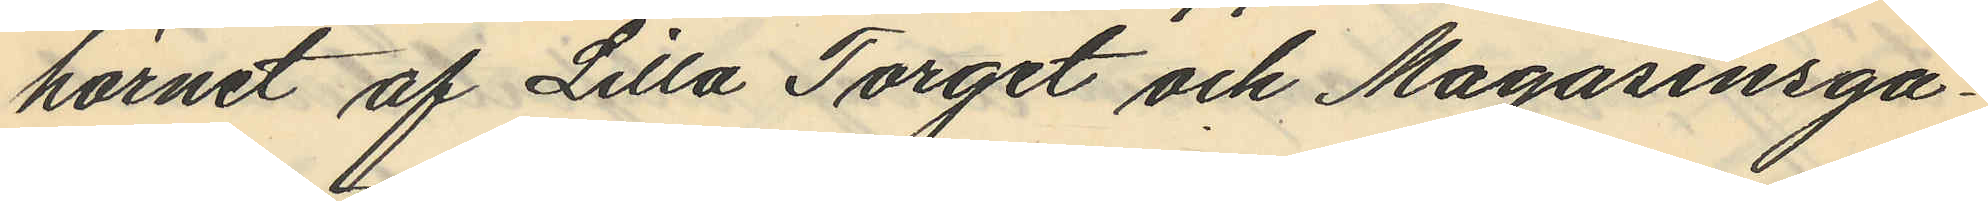hörnet af Lilla Torget och Magasinsga¬
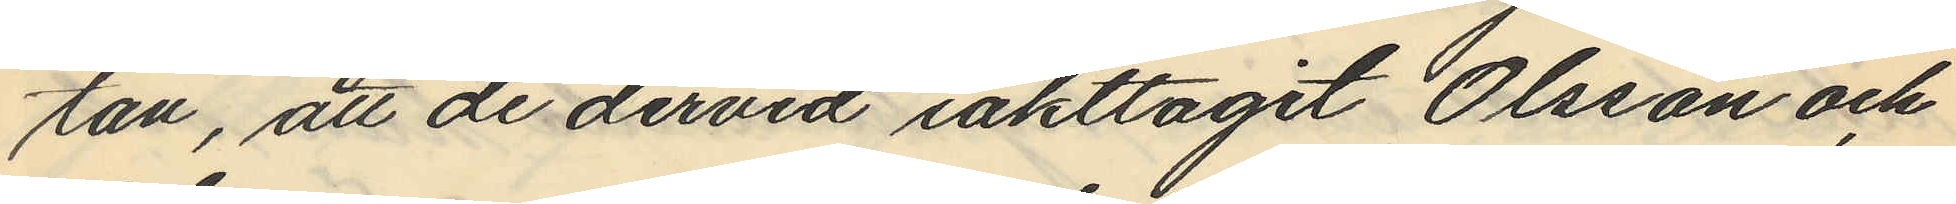tan, att de dervid iakttagit Olsson och
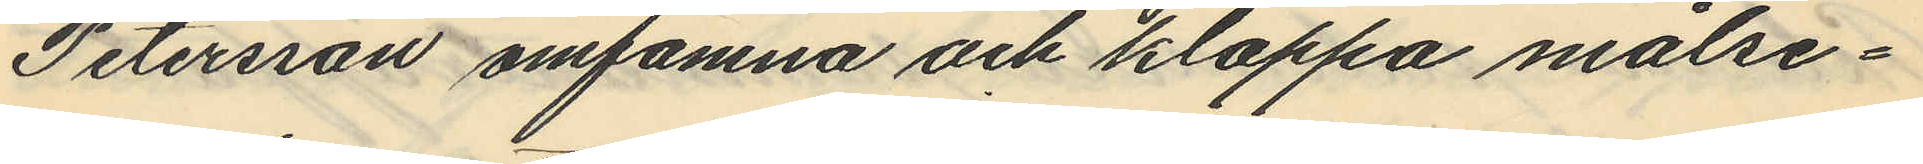Petersson omfamna och klappa målse¬
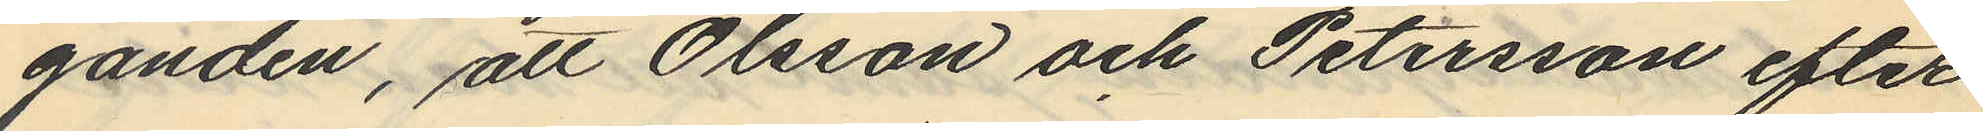ganden, att Olsson och Petersson efter
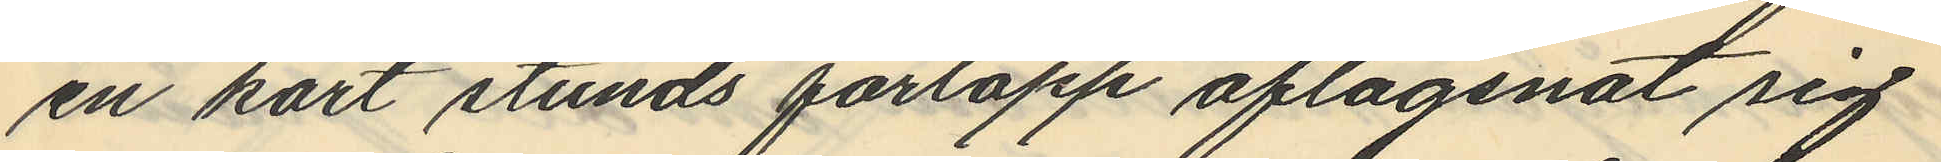en kort stunds förlopp aflägsnat sig
